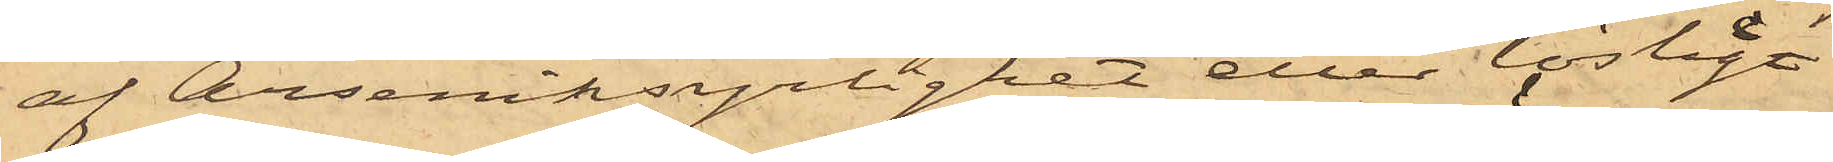af Arseniksyrlighet eller lösligt
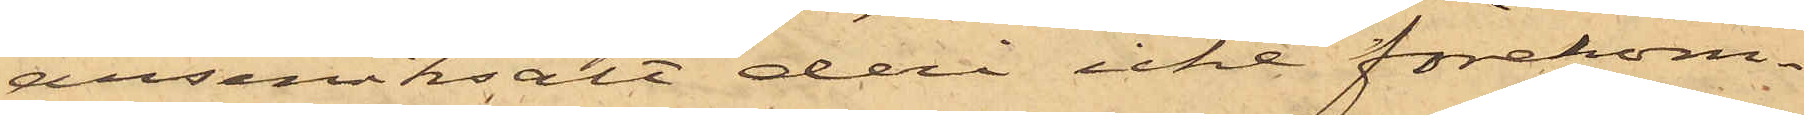arseniksalt deri icke förekom¬
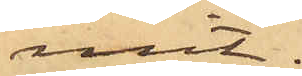mit.
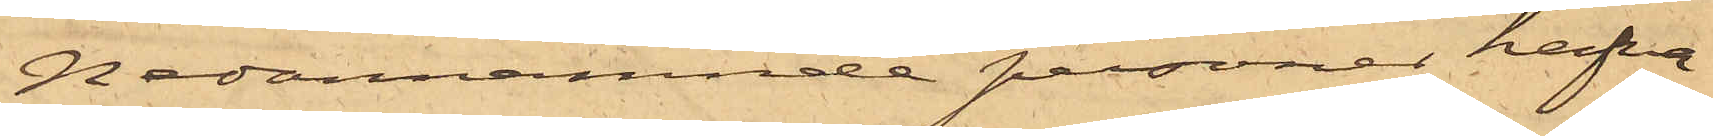Nedannämnde personer hafva
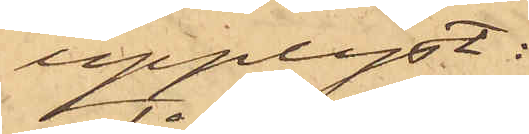upplyst:
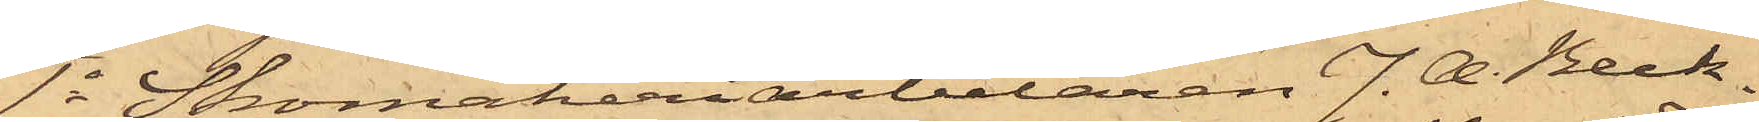1o Skomakeriarbetaren J. A. Beck¬
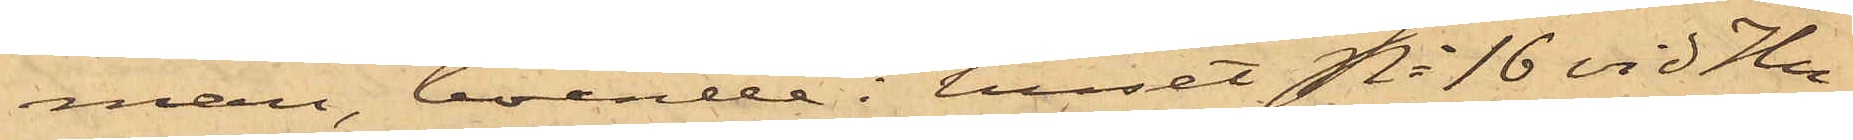man, boende i huset No 16 vid Hu¬
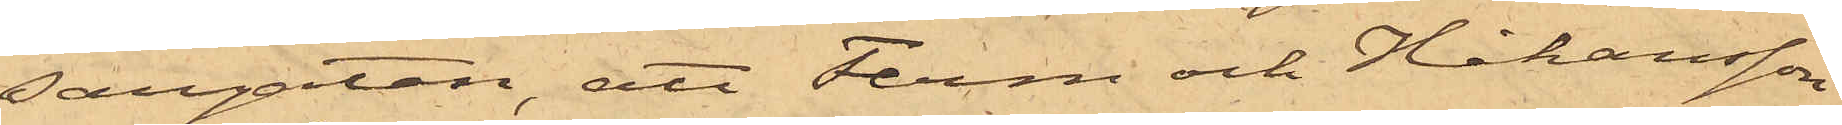sargatan, att Ferm och Håkansson
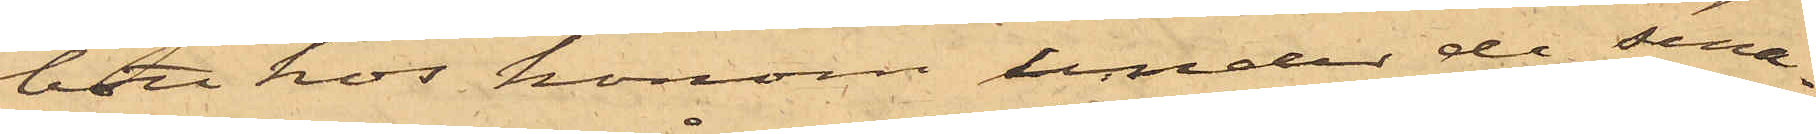bott hos honom under de sena¬
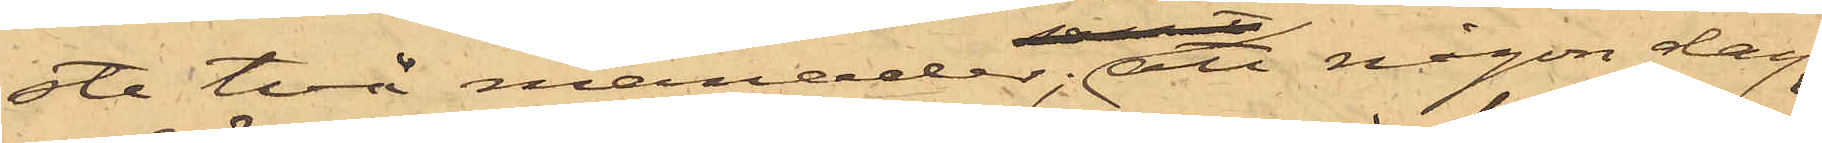ste två månader; att någon dag
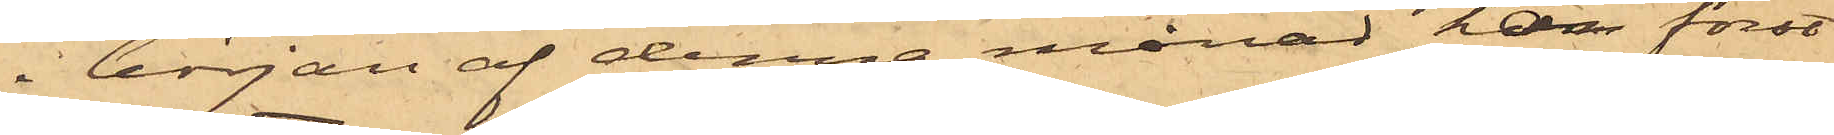i början af denna månad han först
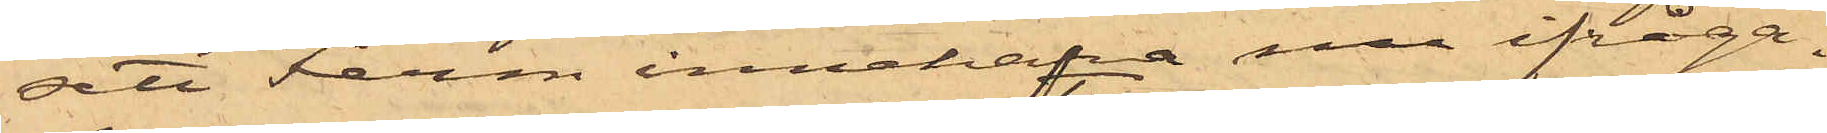sett Ferm innehafva nu ifråga¬
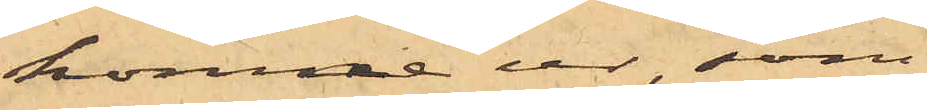komne ur som
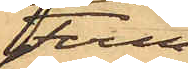Ferm
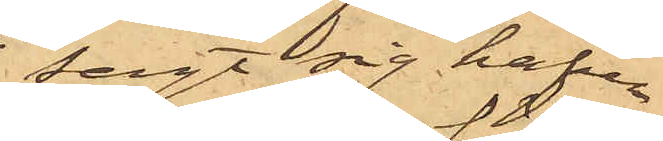sagt sig hafva
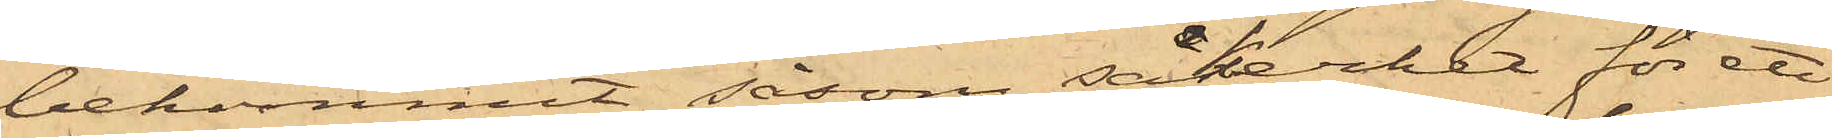bekommit såsom säkerhet för ett
